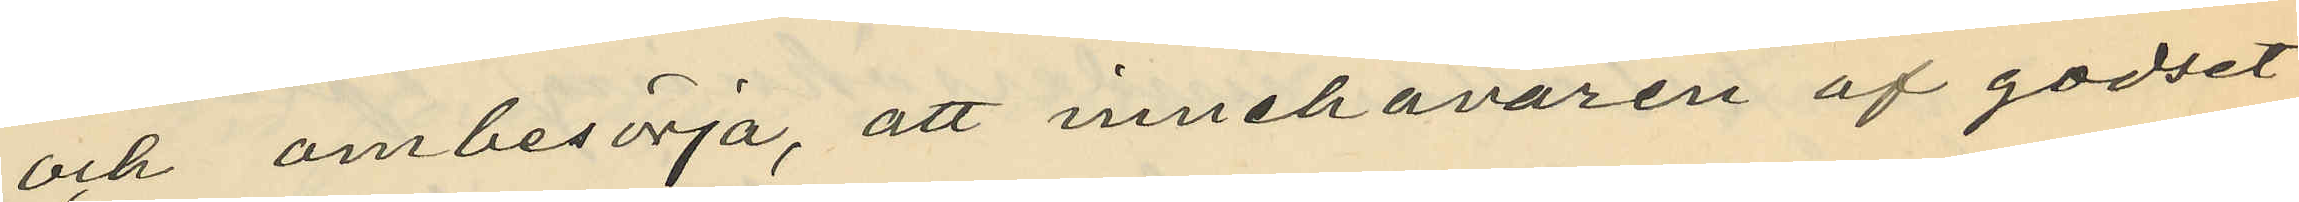och ombesörja, att innehavaren af godset
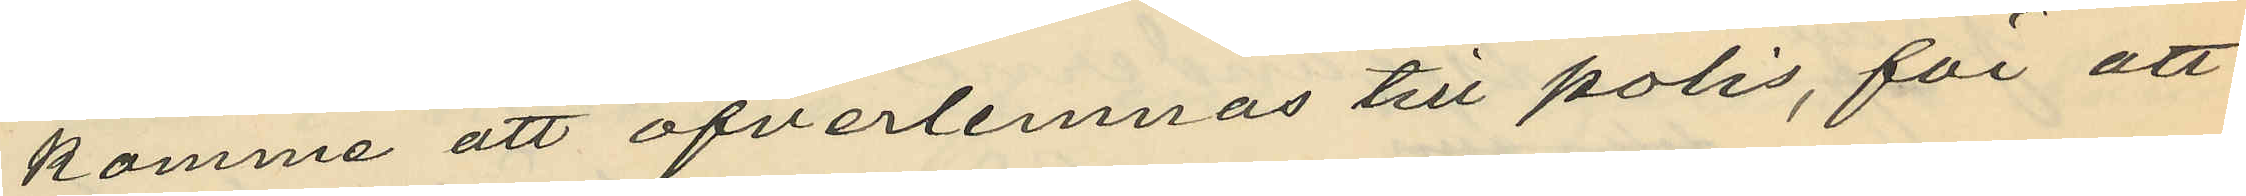komme att öfverlemnas till polis, för att
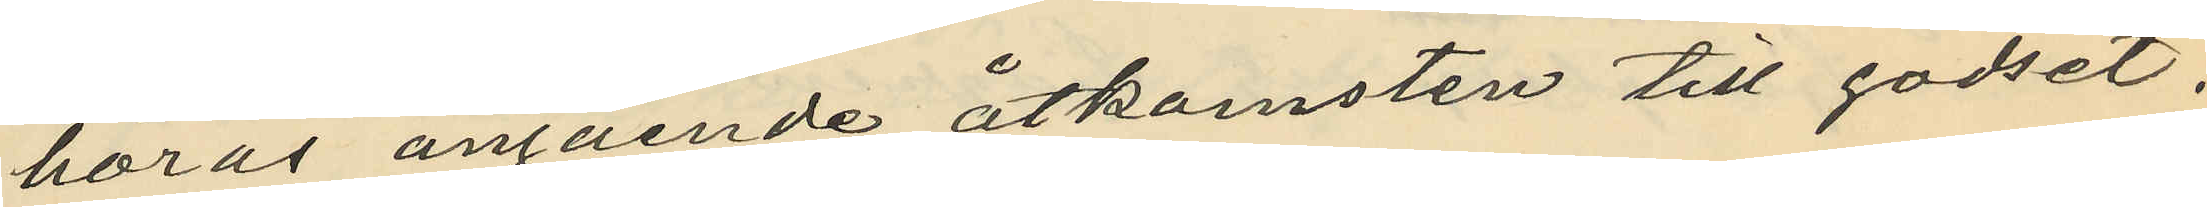höras angående åtkomsten till godset.
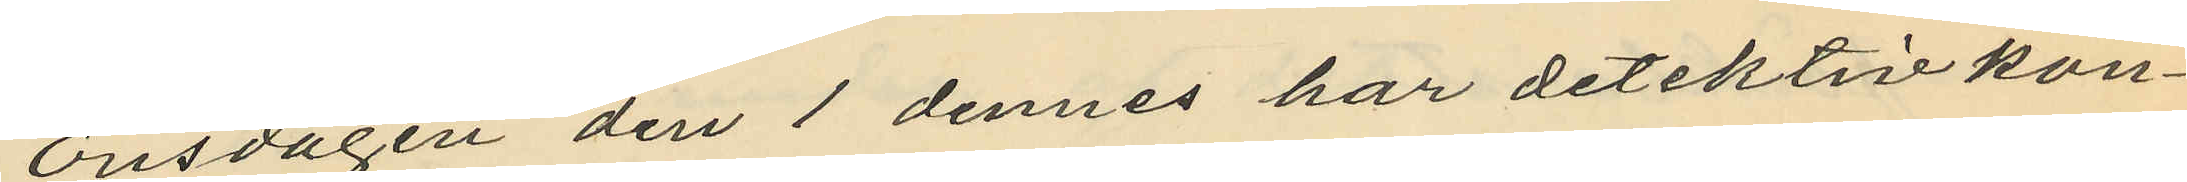Onsdagen den 1 dennes har detektivkon¬
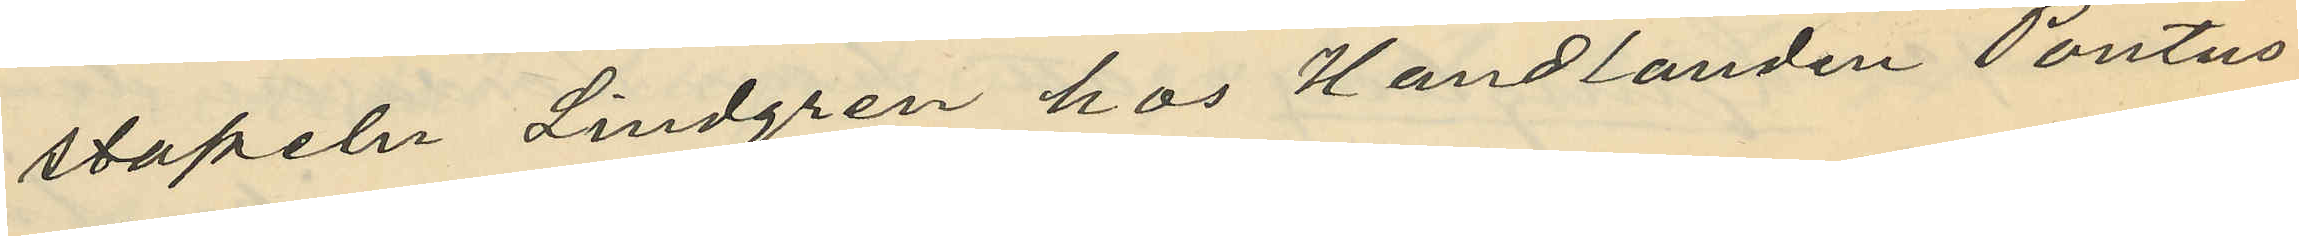stapeln Lindgren hos Handlanden Pontus
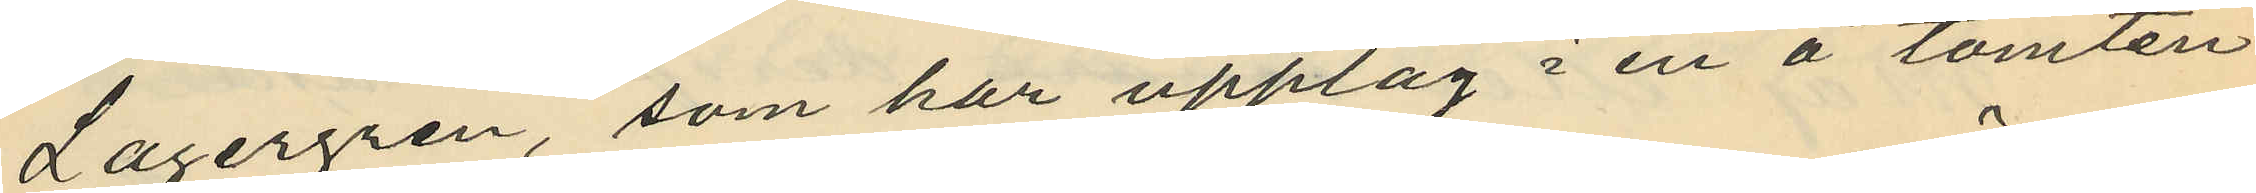Lagergren, som har upplag i en å tomten
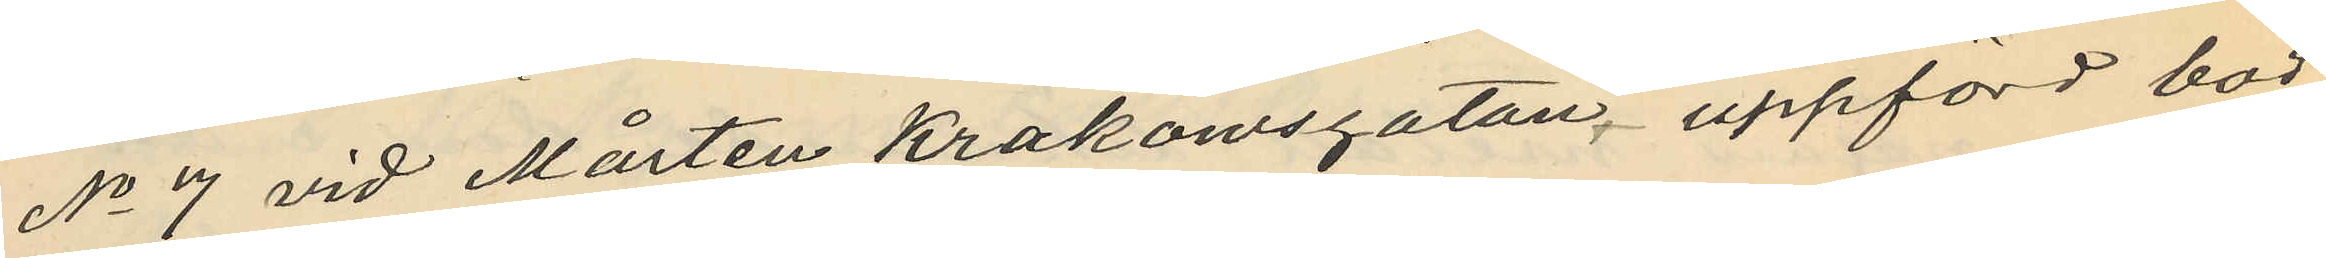No 7 vid Mårten Krakowsgatan, uppförd bod
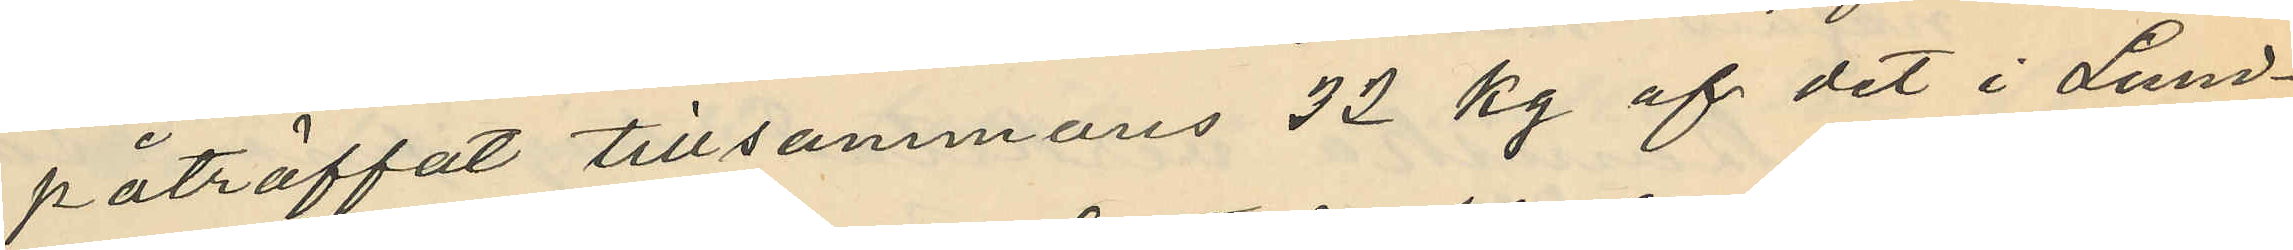påträffat tillsammans 32 kg af det i Lund¬
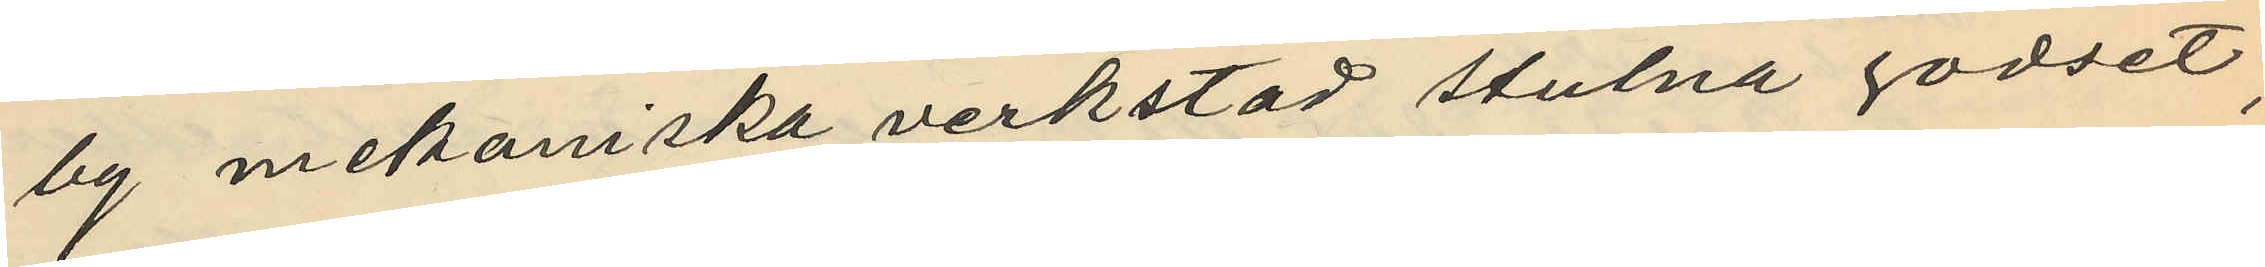by mekaniska verkstad stulna godset,
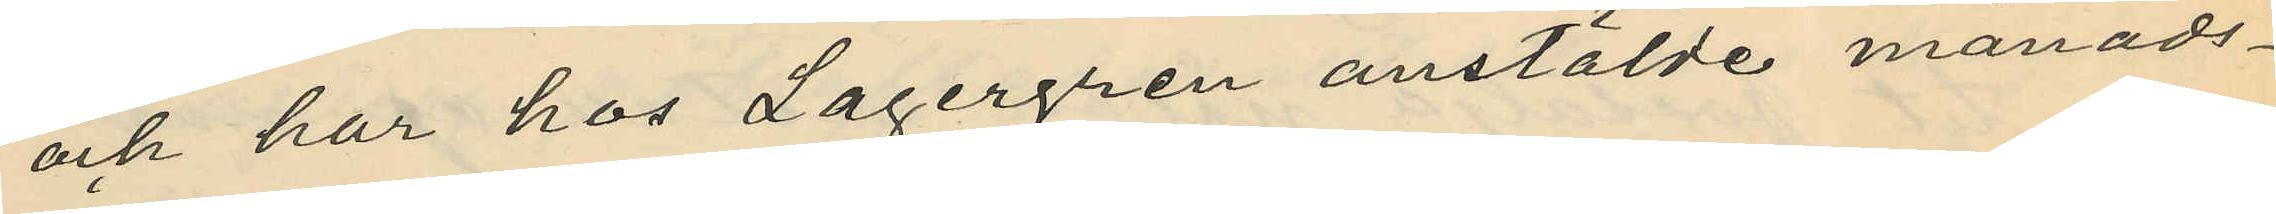och har hos Lagergren anstälde månads¬
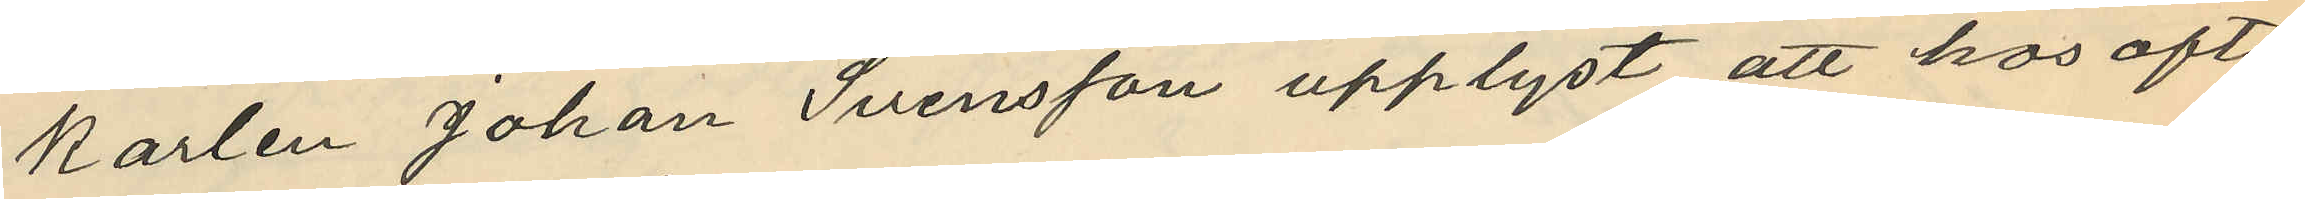karlen Johan Svensson upplyst att hos ofta¬
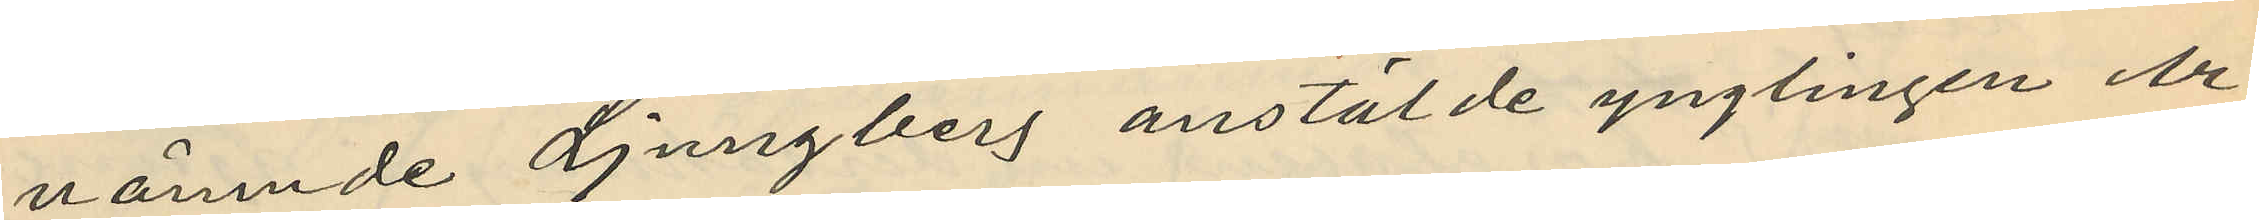nämnde Ljungberg anstälde ynglingen Ar¬
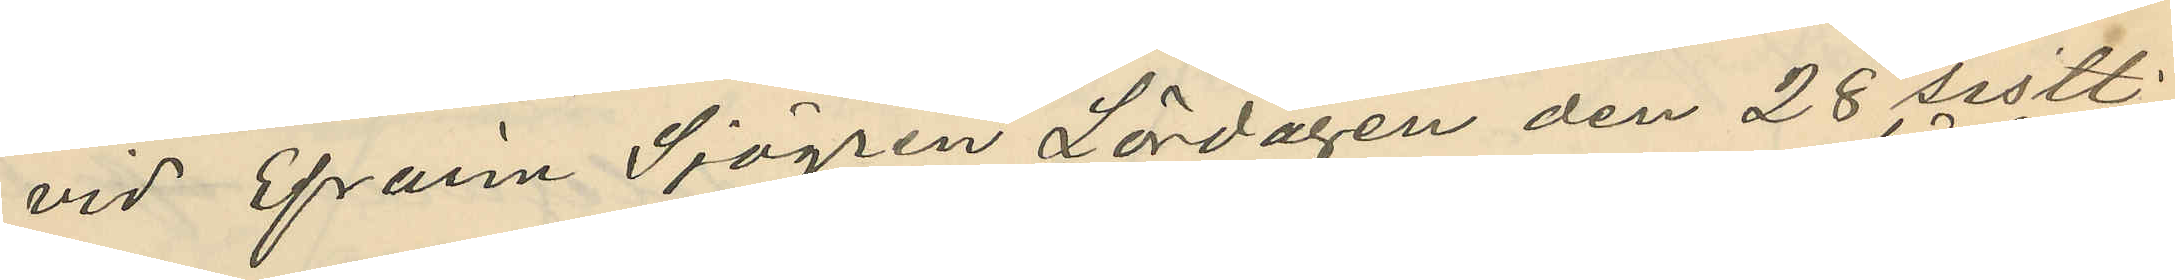vid Efraim Sjögren Lördagen den 28 sistl.
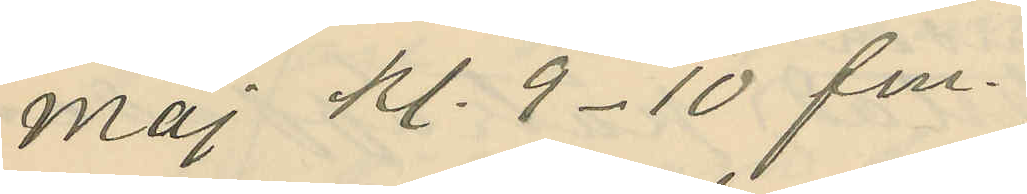Maj kl. 9-10 fm.
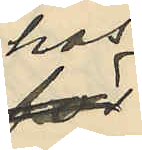hos
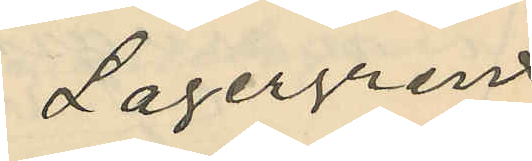Lagergren
